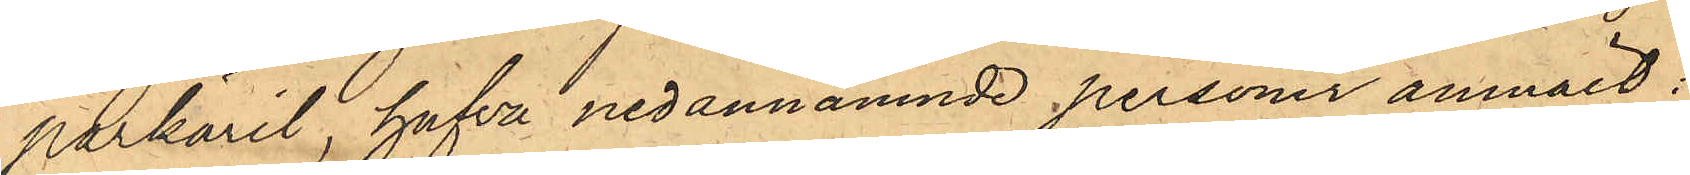parkäril, hafva nedannämnde personer anmält:
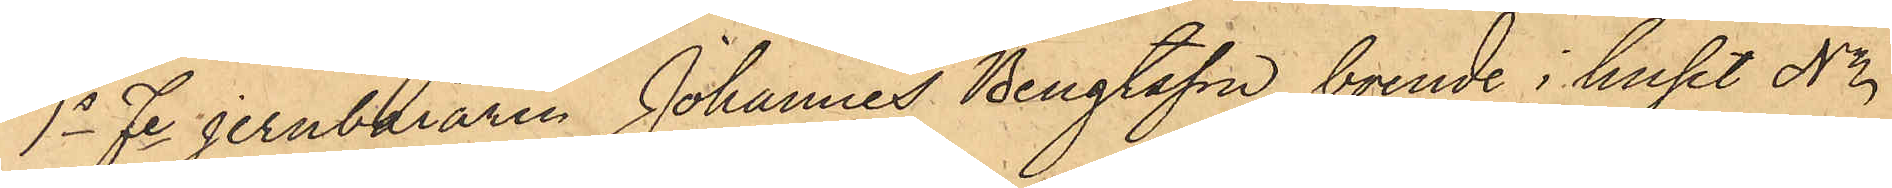1o Fe Jernbäraren Johannes Bengtsson, boende i huset No
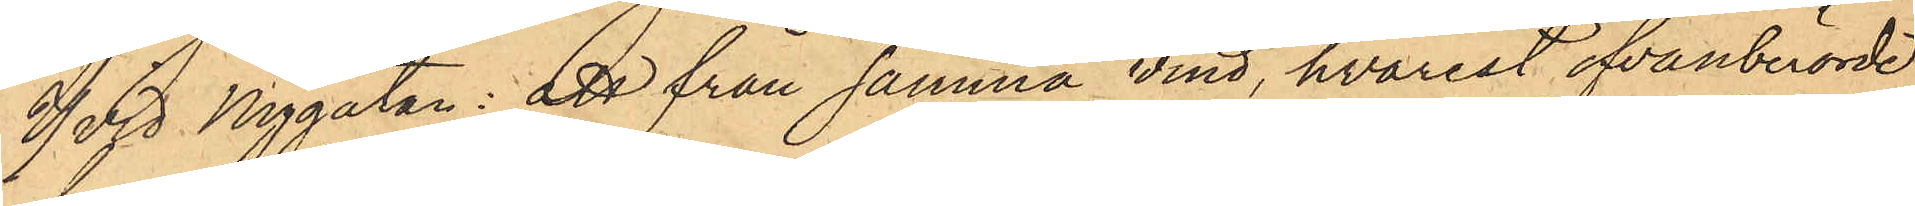7 vid Nygatan: att från samma vind, hvarest ofvanberörde
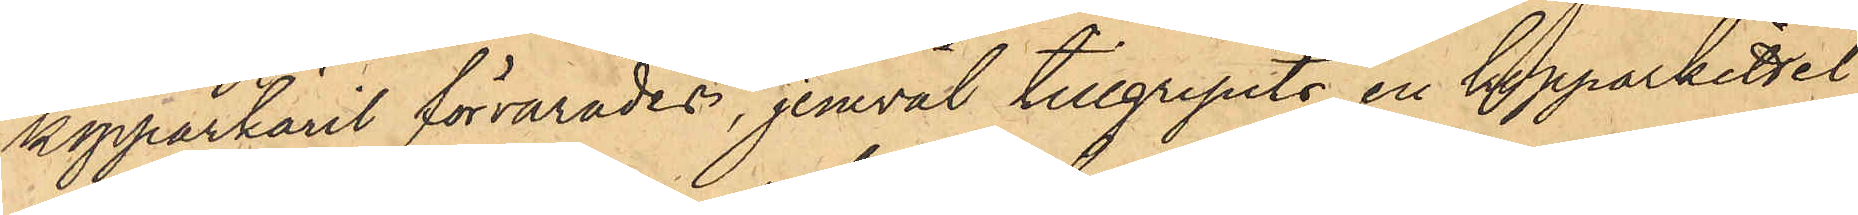kopparkäril förvarades, jemväl tillgripits en kopparkittel
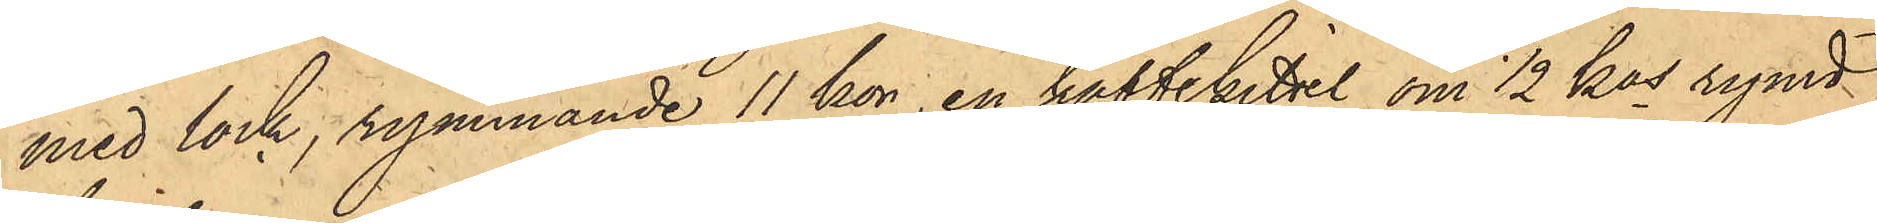med lock, rymmande 11 kor, en kaffekittel om 1/2 kos rymd
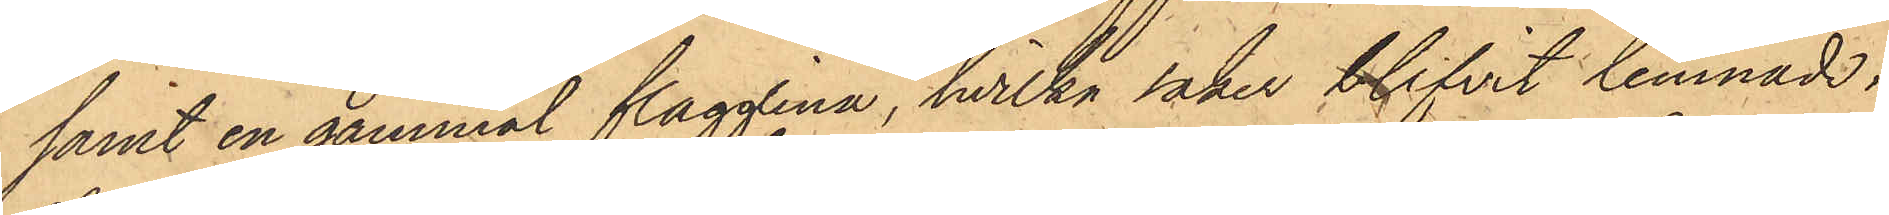samt en gammal flagglina, hvilka saker blifvit lemnade i
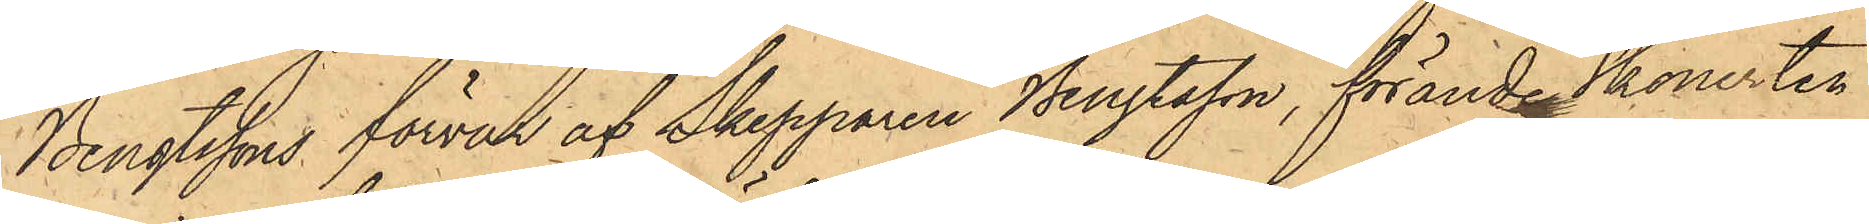Bengtssons förvar af Skepparen Bengtsson, förande Skonerten
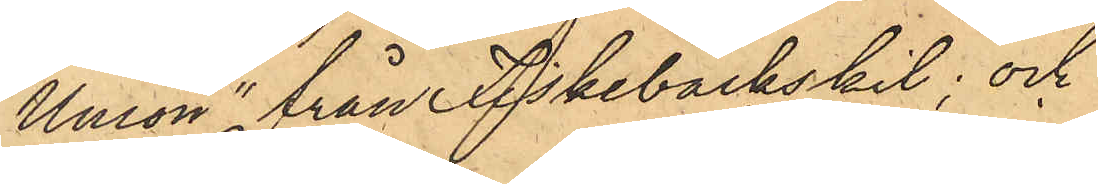"Union" från Fiskebäckskil; och
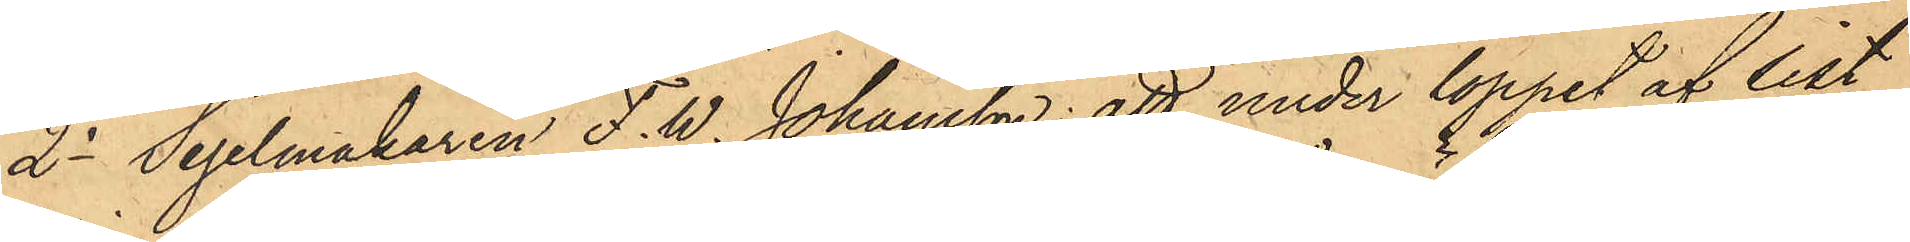2o Segelmakaren F. W. Johansson: att under loppet af sist¬
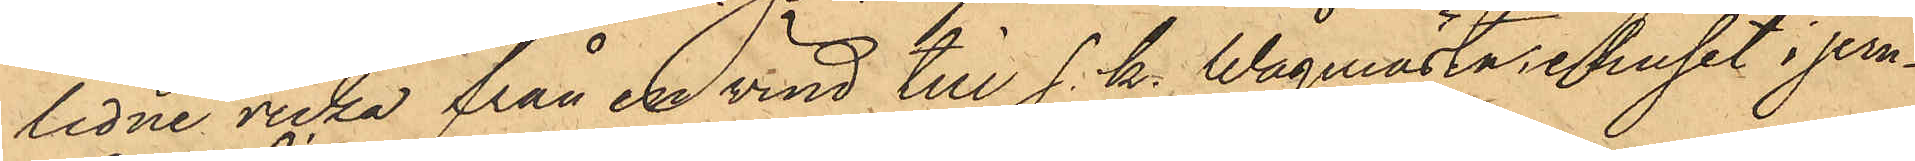lidne vecka från en vind till s. k. Wågmästarehuset i jern¬
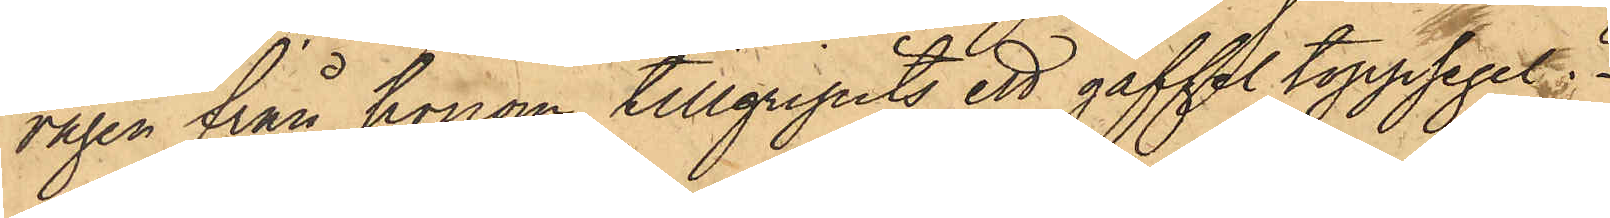vågen från honom tillgripits ett gaffel toppsegel;
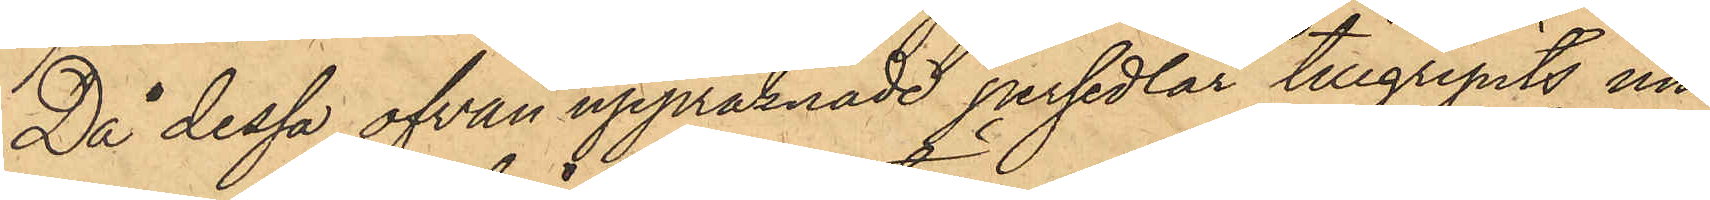Då dessa ofvan uppräknade persedlar tillgripits un¬
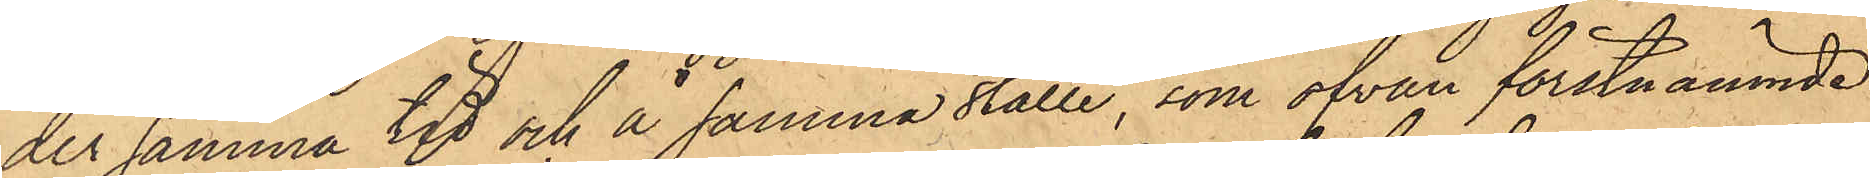der samma tid och å samma ställe, som ofvan förstnämnde
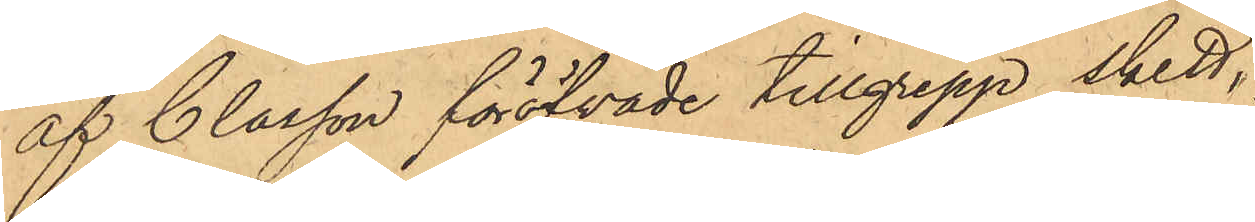af Classon föröfvade tillgrepp skett,
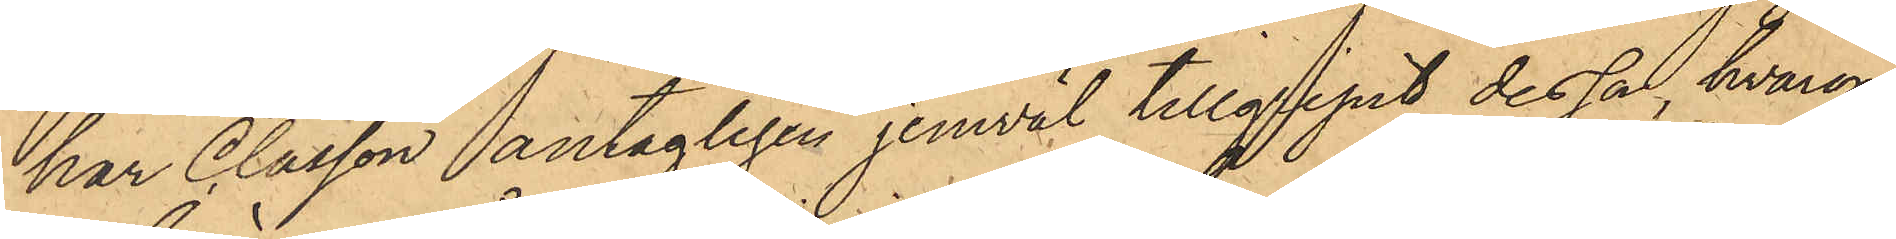har Classon antagligen jemväl tillgripit dessa, hvarom
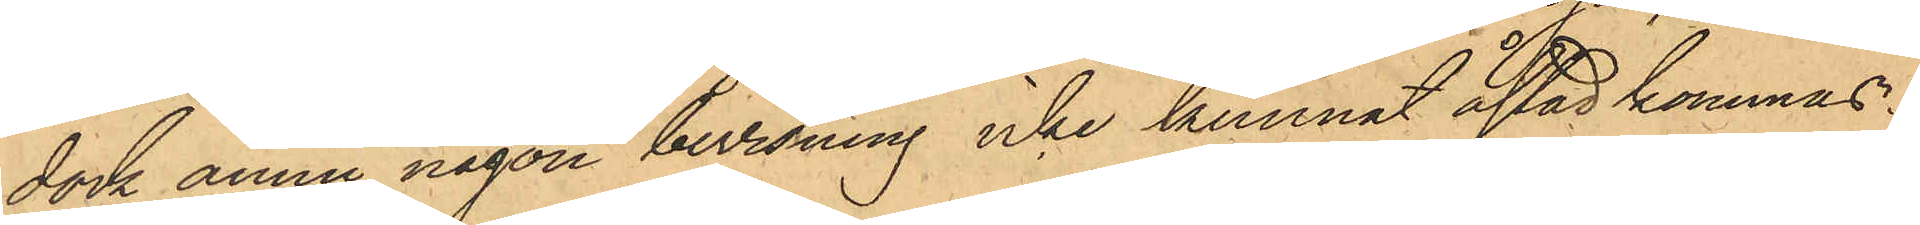dock ännu någon bevisning icke kunnat åstadkommas.
